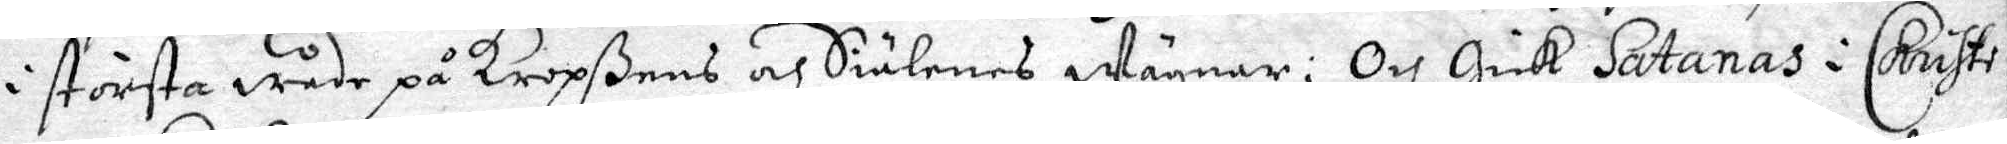i största wåde på Kropßens och Siälenes wägnar; Och Gick Satanas i Christi¬
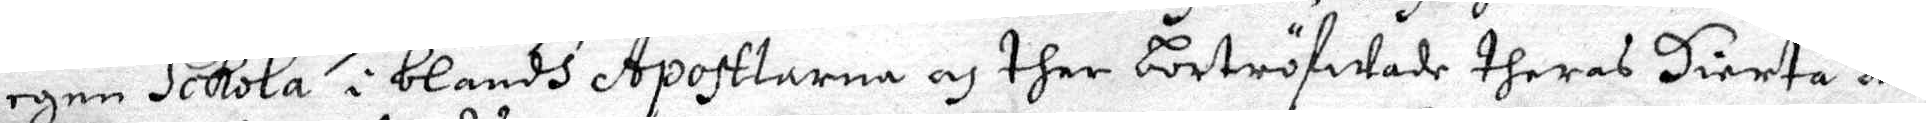egen Sckola i blandh Apostlarna och ther bortröfwade theras Hierta och
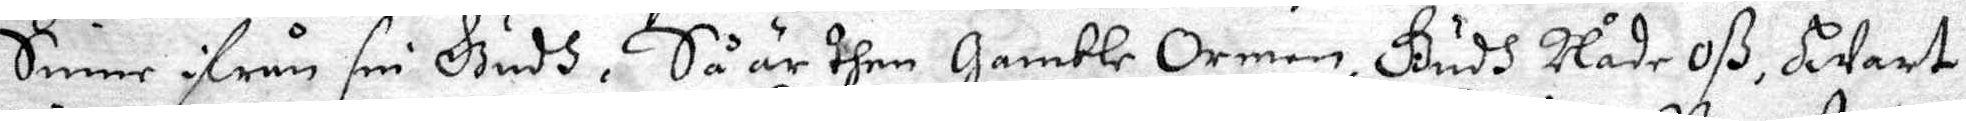Sinne ifrån sin Gudh. Så är dhen Gamble Ormen, Gudh Nåde Oß, Endast
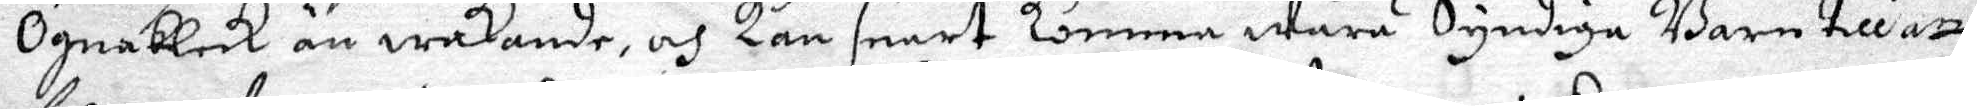Ögnableck än wekande, och kan snart Comma Wåre Syndige Barn till att
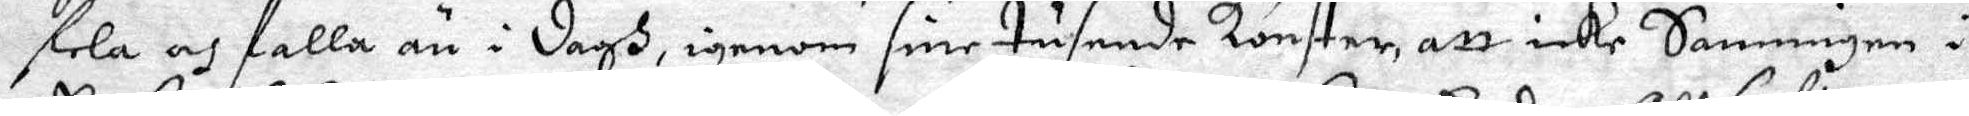fela och falla än i dagh, igenom sine tusende konster, att icke Sanningen i
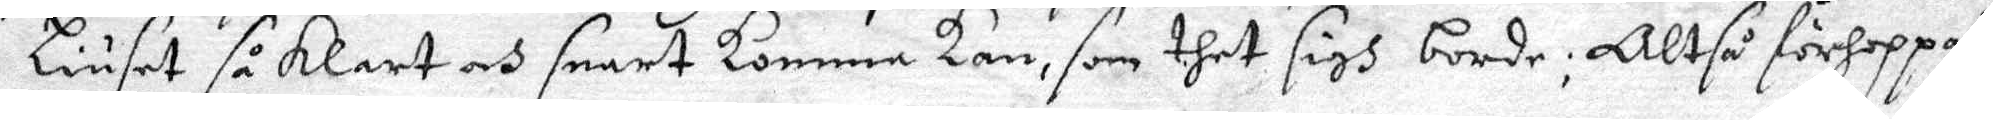Liuset så Klart och snart komma kan, som dhet sigh borde; Altså förhoppas
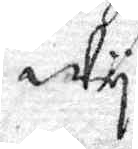Wy
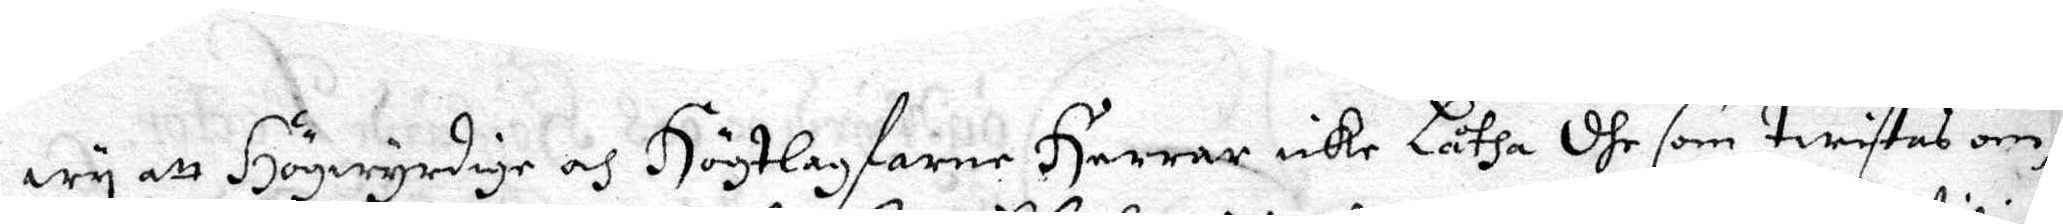wy att Högwyrdige och Högtlagfarne Herrar icke Låtha dhe som twistes om
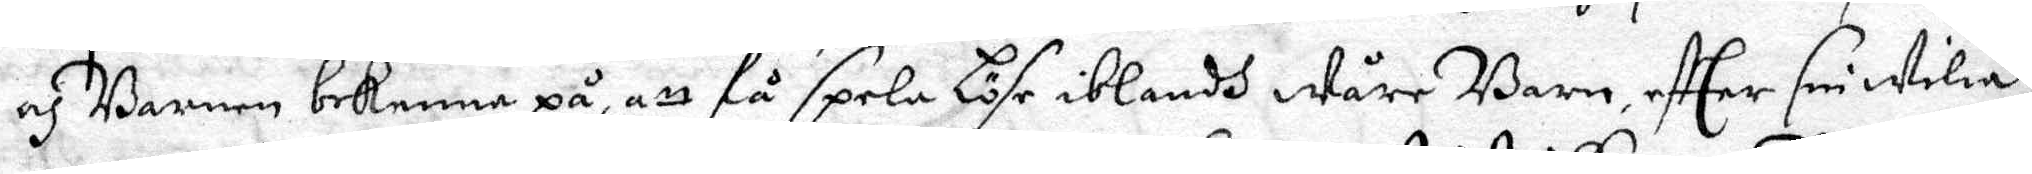och Barnen bekenna på, att få spela Löse iblandh Wåre Barn, efther sin wilia
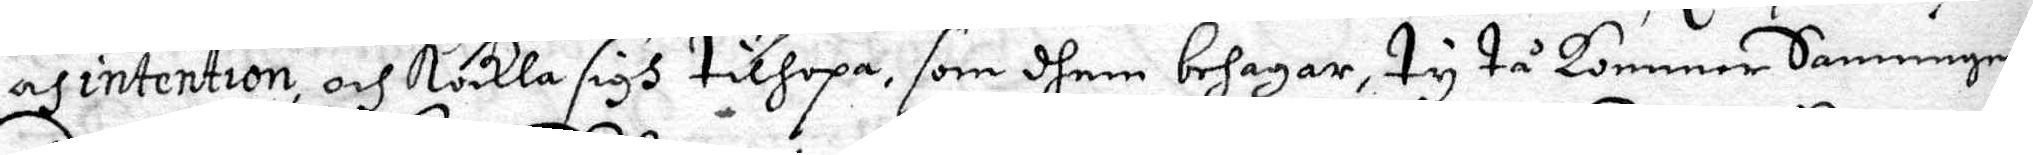och intention, och kalla sigh tilhopa, som dhem behagar, ty tå kommer Sanningen
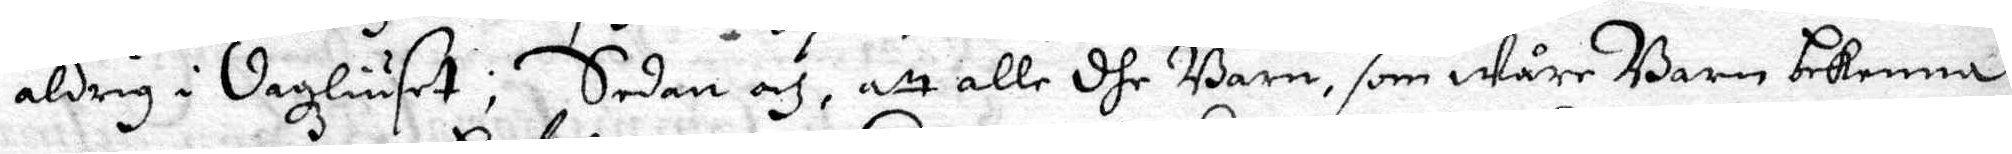aldrig i dagzliuset; Sedan och, att alle dhe Barn, som Wåre Barn bekenna
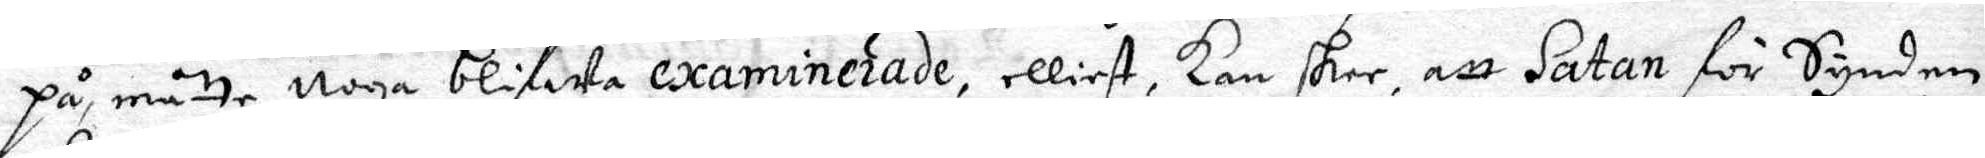på, måtte noga blifwa examinerade, elliest, Kan her, att Satan för Synden
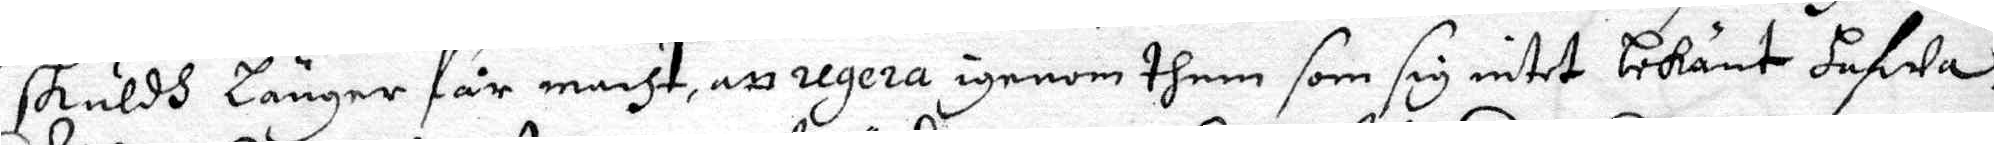skuldh länger får macht, att regera igenom them som sig intet bekänt hafwa
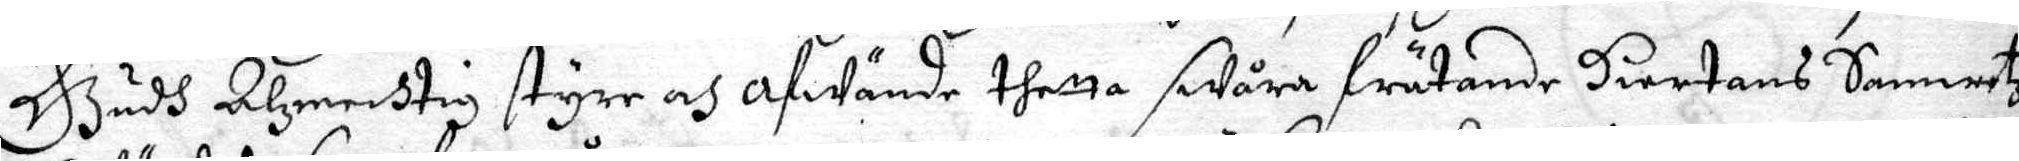Gudh Alzmechtig styre och afwände thetta swåra frätande Hiertans Samvetz
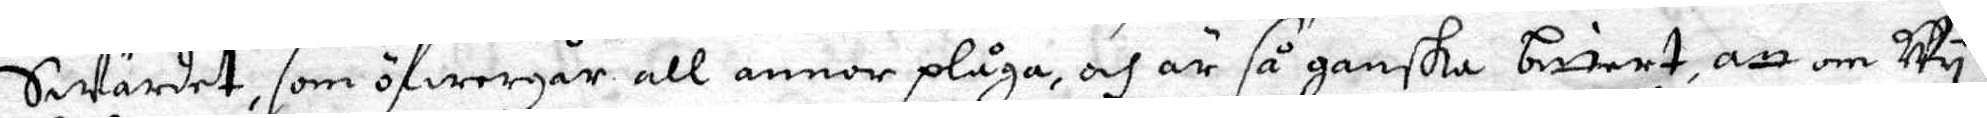Swärdet, som öfwergår all annor plåga, och är så ganska briant, att om Wy
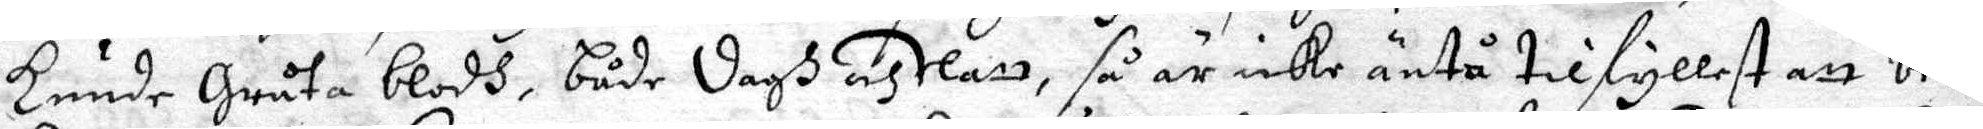Kunde Gråta blodh, både dagh och Natt, så är icke äntå tilfyllest att be¬
